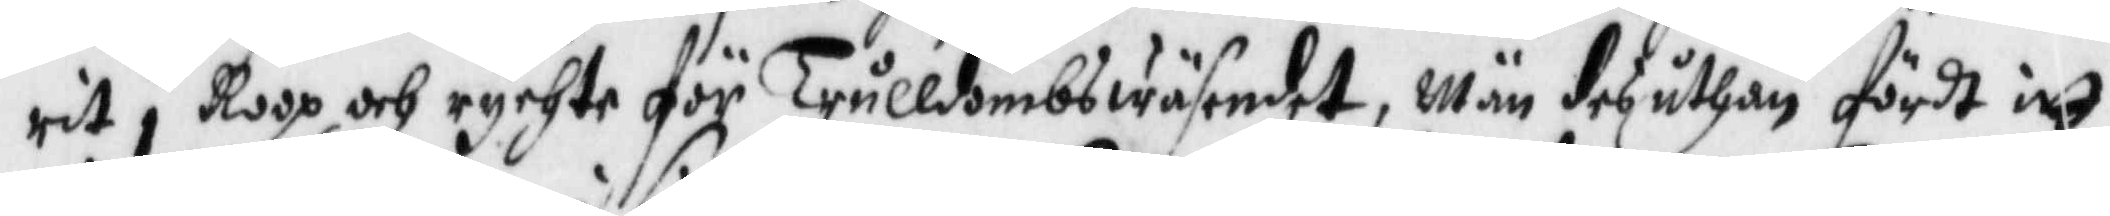rit i Roop och rychte för trulldombswäsendet, män des uthan fördt itt
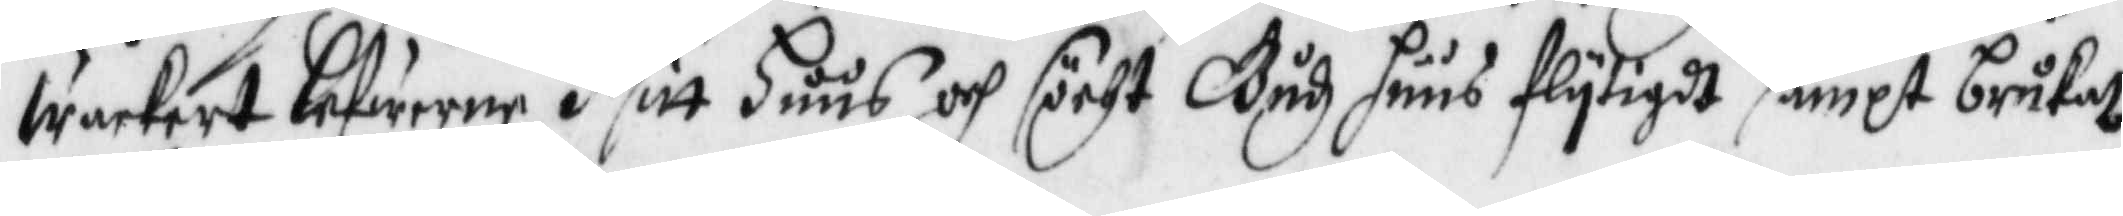wackert lefwerne i sitt Huus och söcht Gudz huus flytigdt sampt brukat
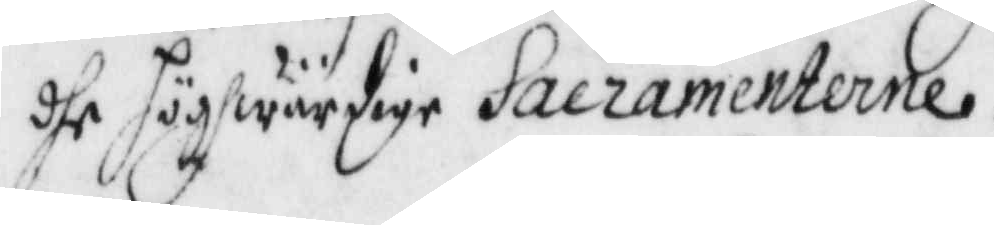dhe högwärdige Sacramenterne.
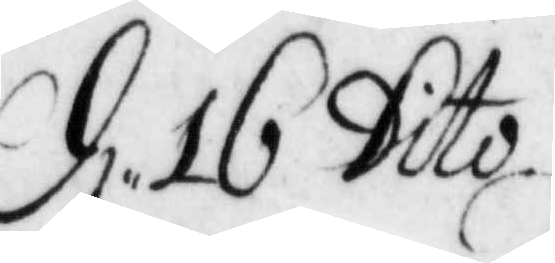d: 16 Dito
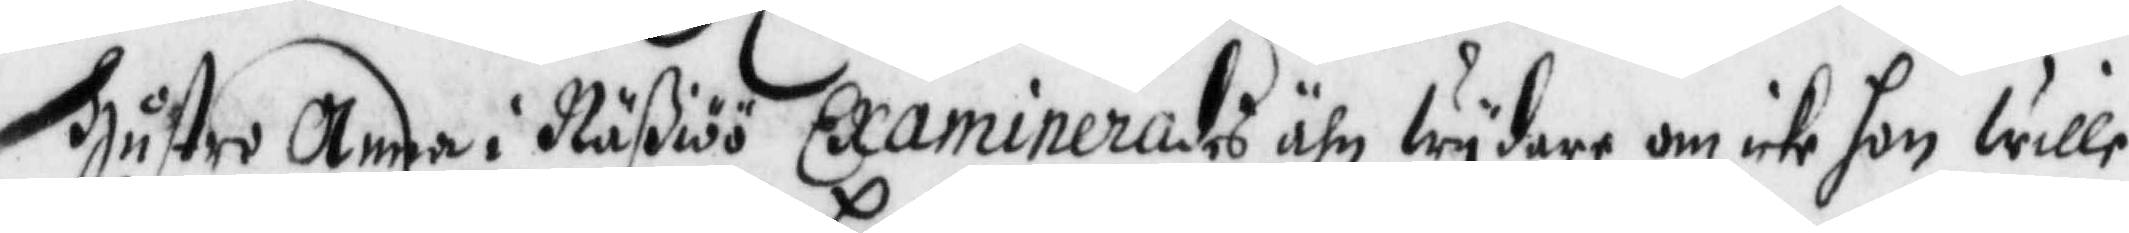hustro Anna i Näßiöö examinerades ähn wydare om icke hon wille
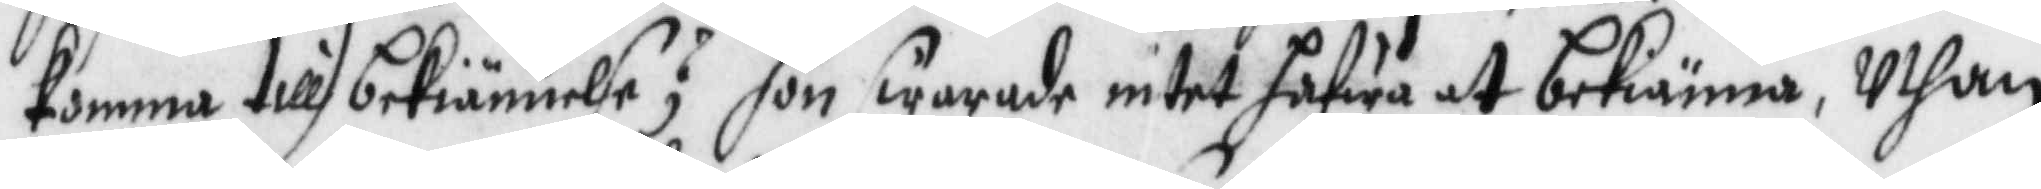komma till bekiännelse? hon swarade intet hafwa at bekiänna, Uthan
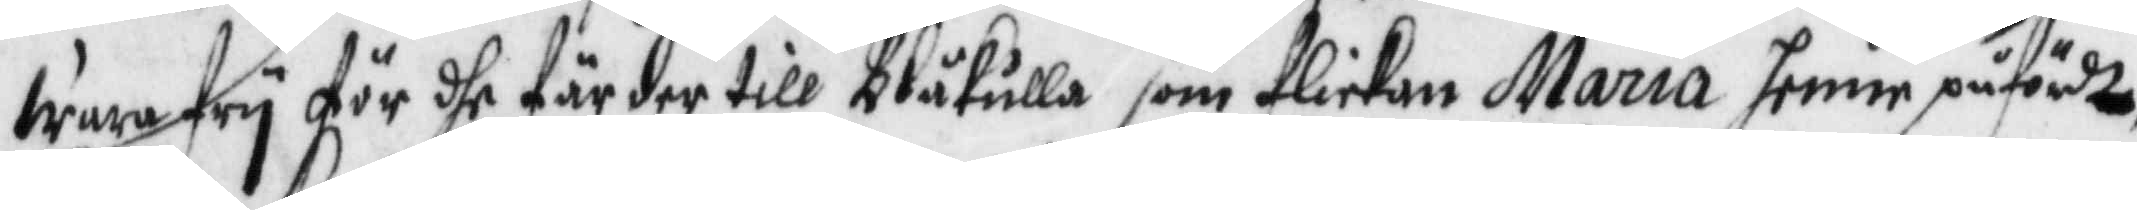wara fry för dhe färder till Blåkulla som flickan Maria henne påfördt,
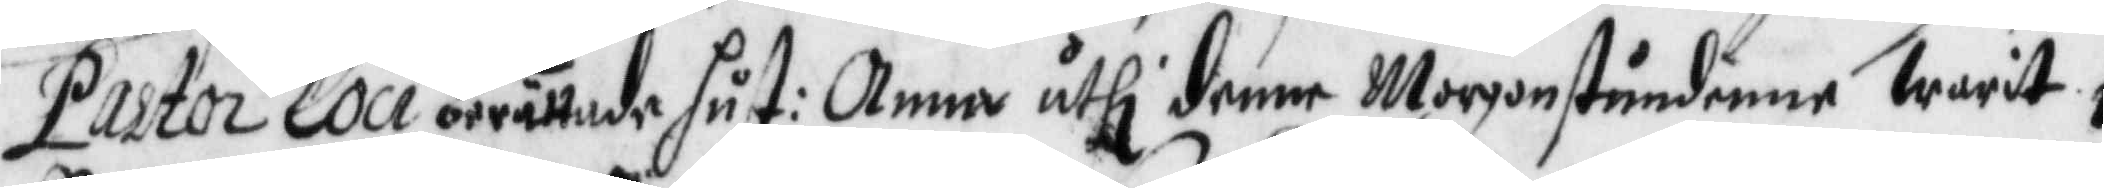Pastor Loci berättade hust: Anna uthi denne Morgonstundenne warit i
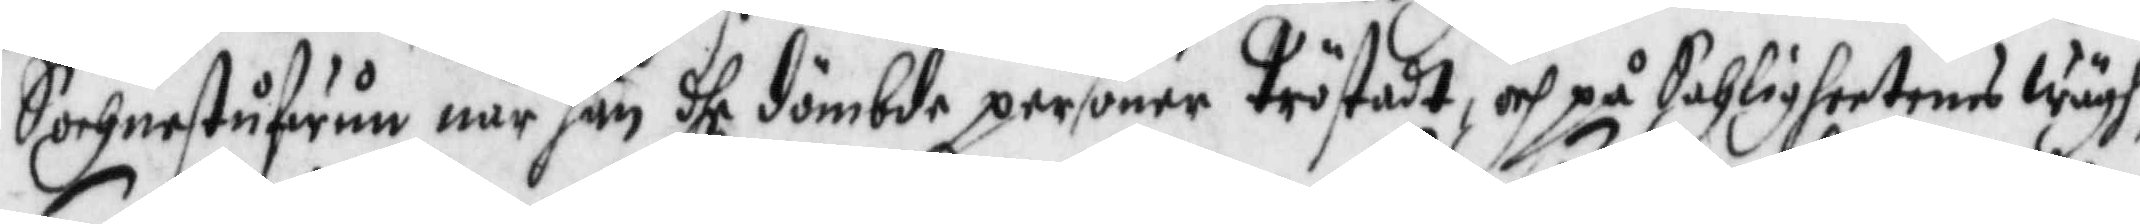Sochnestufwun när han dhe dömbde personer tröstat, och på Sahligheetens wägh
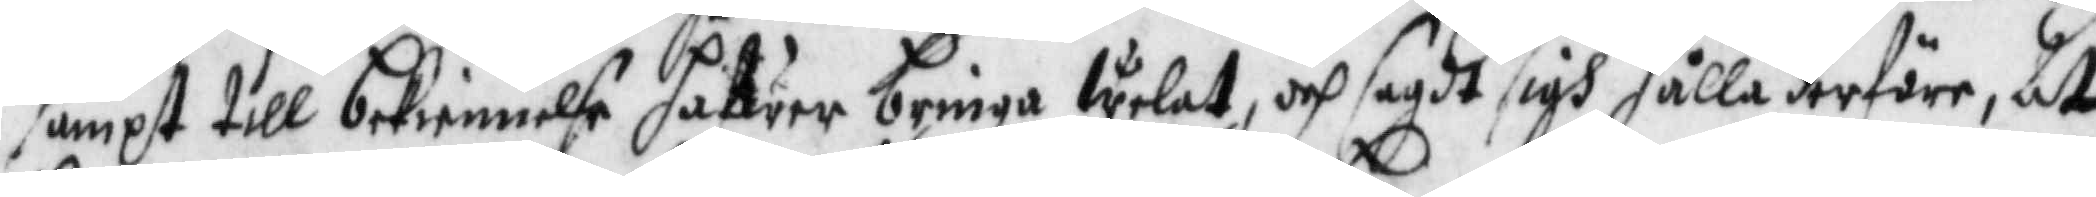sampt till bekiennelse hafwer bringa welat, och sagdt sigh hålla derföre. At
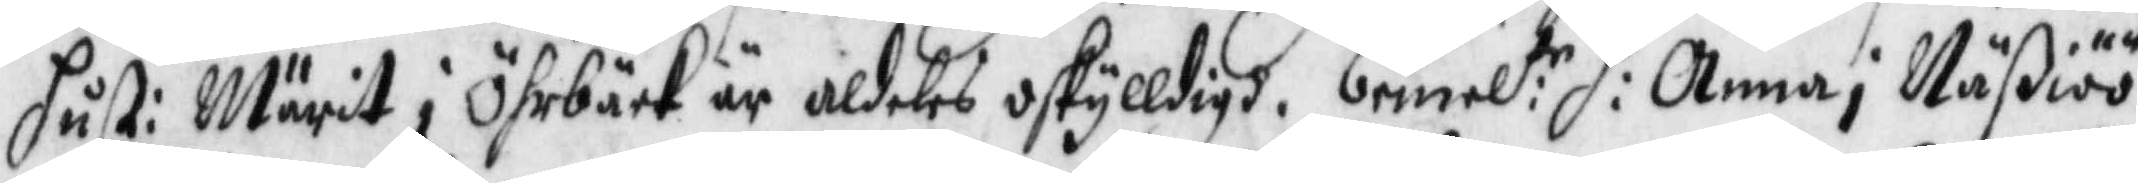hust: Märit i Öhrbäck är aldeles oskylldigh. bemel:te h: Anna i Näßiöö
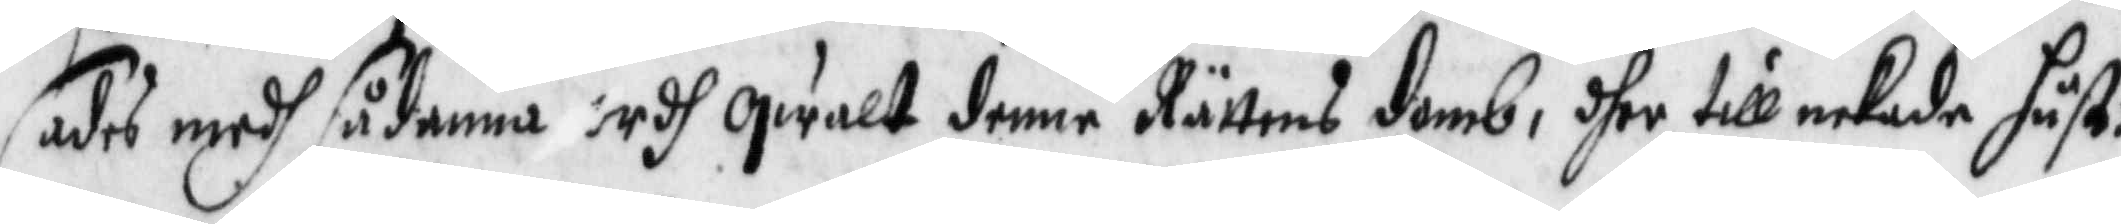sades medh sådanna ordh qwalt denne Rättens domb, dher till nekade hust:
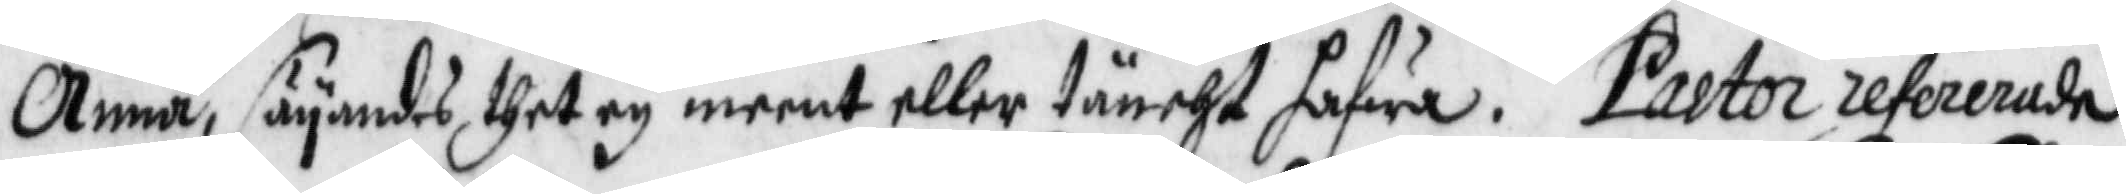Anna, säyandes thet ey meent eller täncht hafwa. Pastor refererade
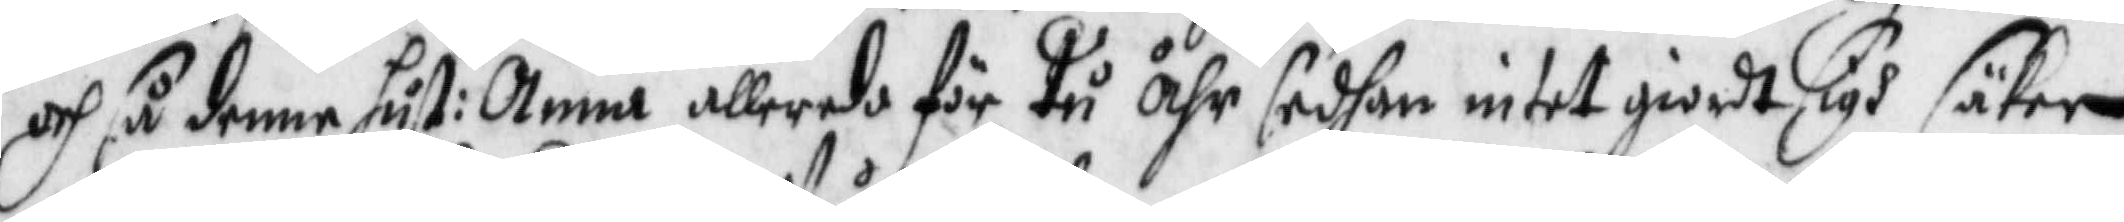och så denne hust: Anna allereda för tu åhr sedhan intet giordt sigh säker
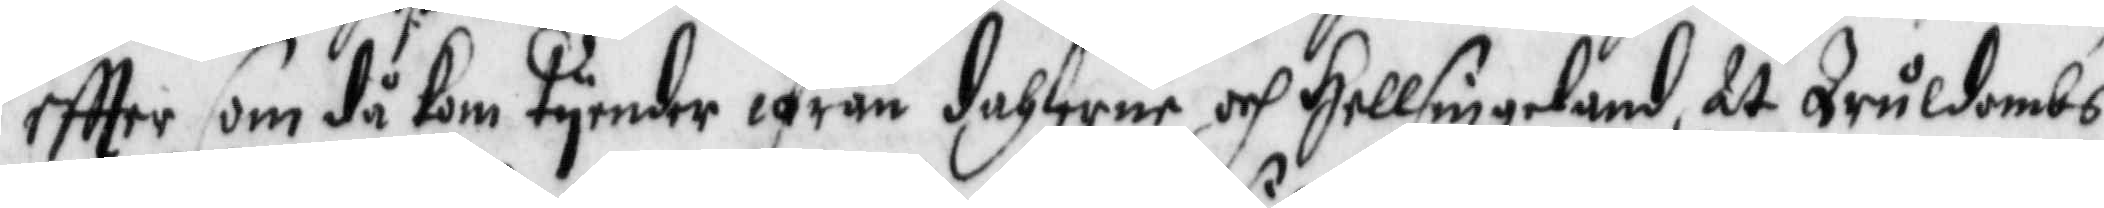eftter som då kom tyender ifrån dahlerne och Hellsingeland, at truldombs
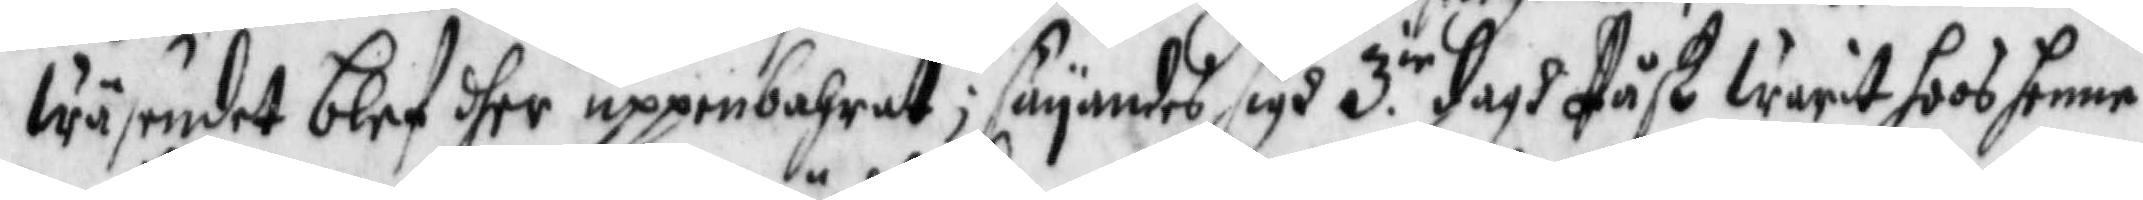wäsendet blef dher uppenbahrat; säyandes sigh 3.ie dagh Påsk warit hoos henne
